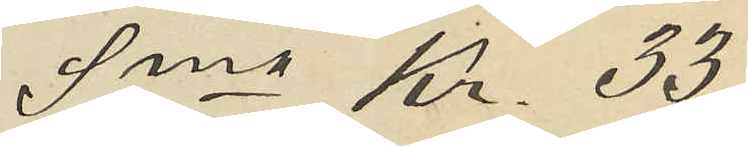Sma Kr. 33
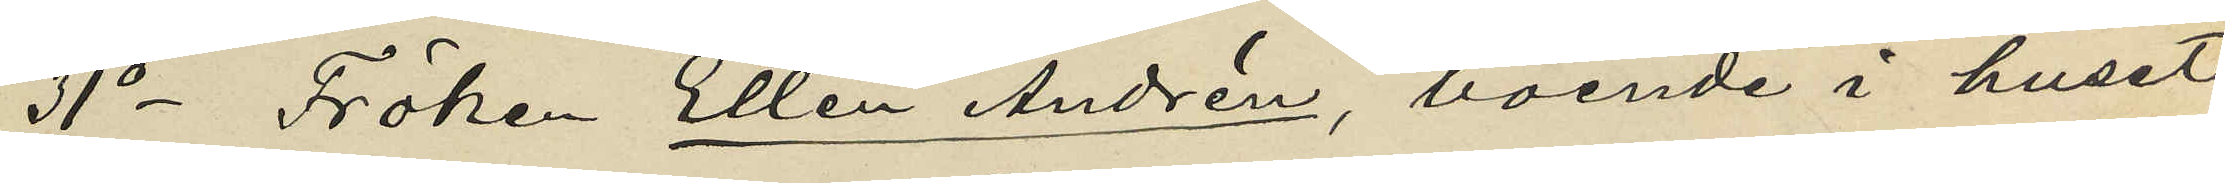31o Fröken Ellen Andrén, boende i huset
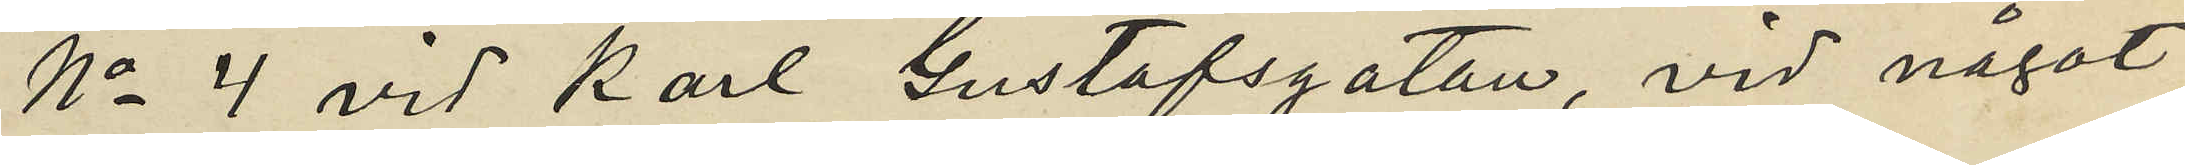No 4 vid Karl Gustafsgatan, vid något
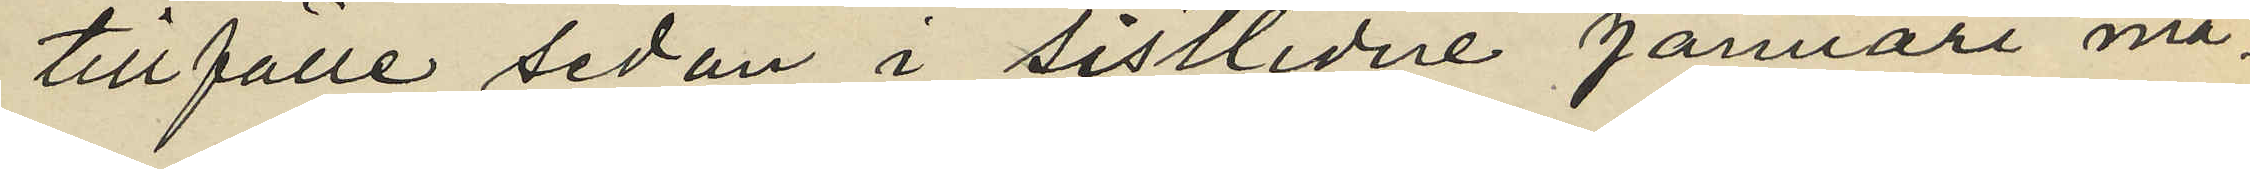tillfälle sedan i sistlidne Januari må¬
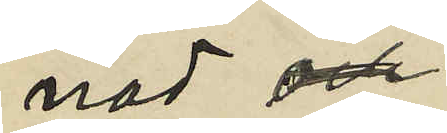nad
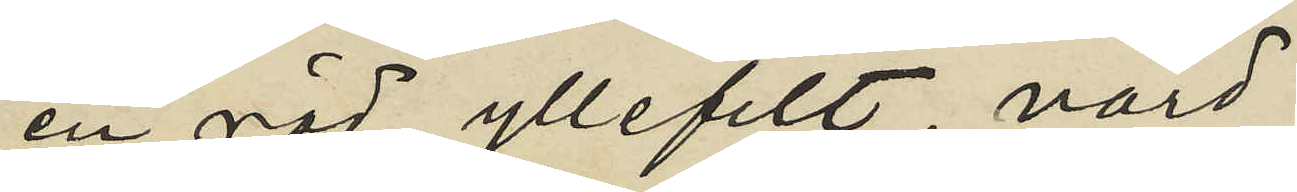en röd yllefilt värd
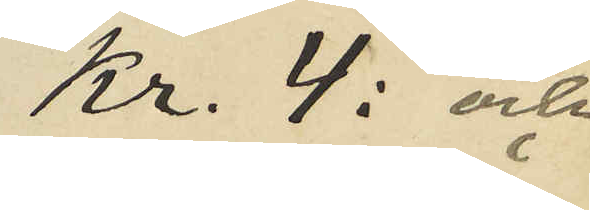Kr. 4: och
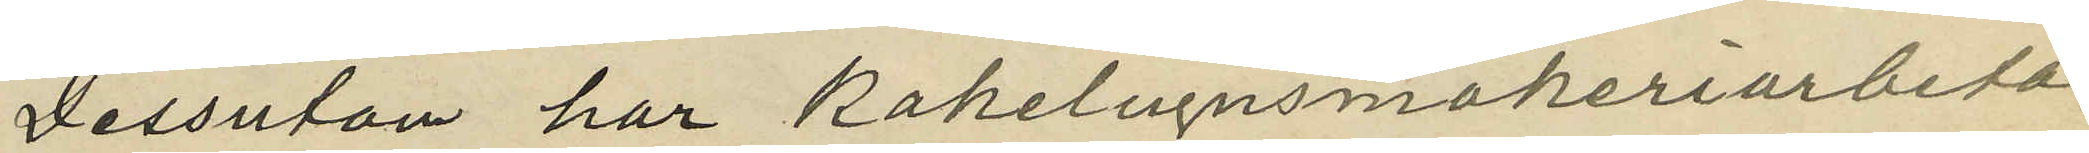Dessuton har Kakelugnsmakeriarbeta¬
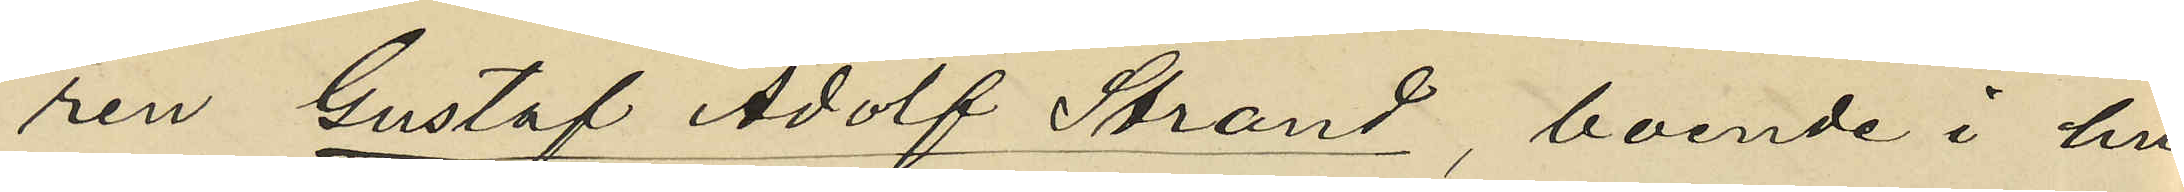ren Gustaf Adolf Strand, boende i hu¬
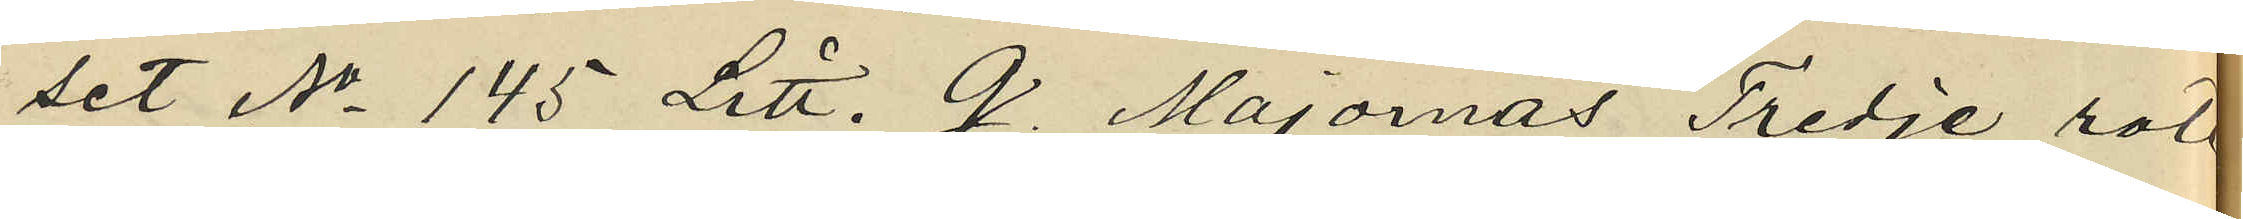set No 145 Litt. G. Majornas Tredje rote
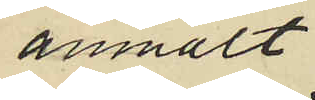anmält
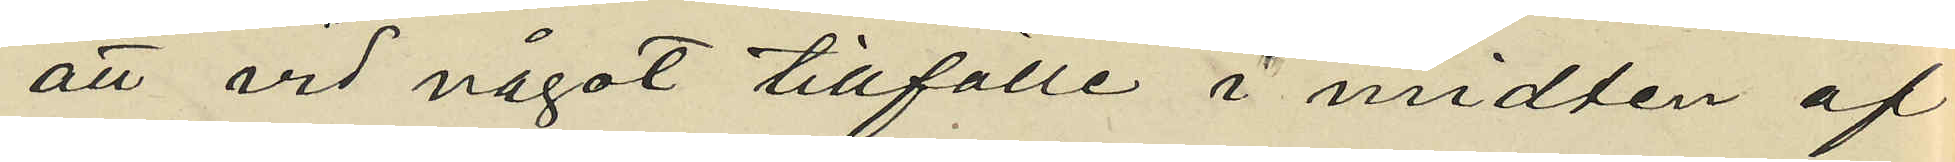att vid något tillfälle i midten af
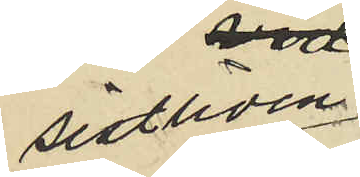sistliden
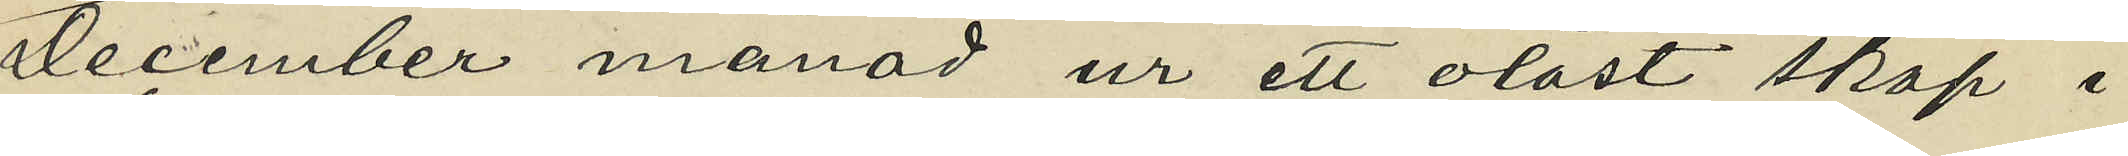December månad ur ett olåst skåp i
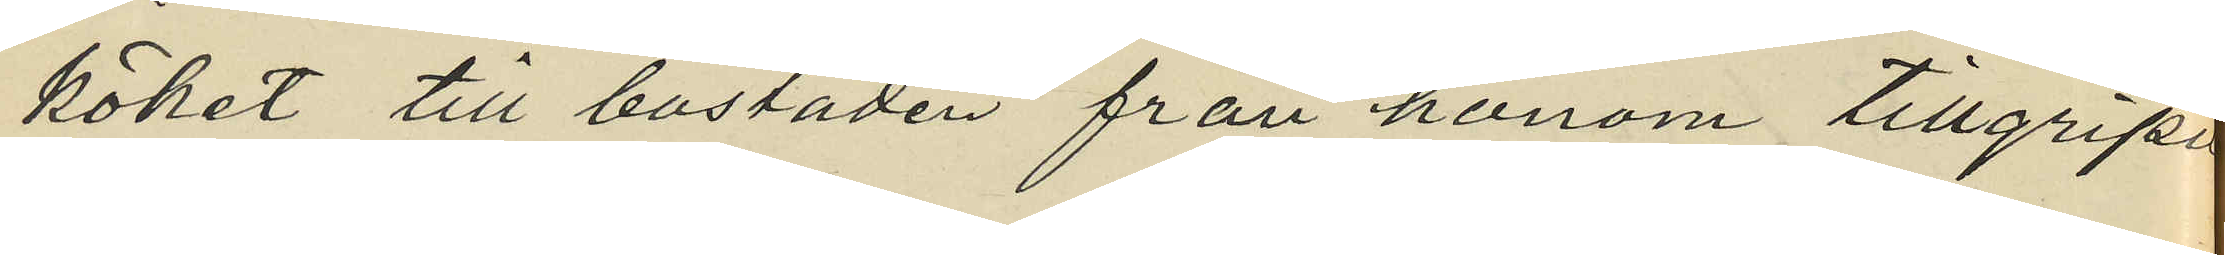köket till bostaden från honom tillgripit
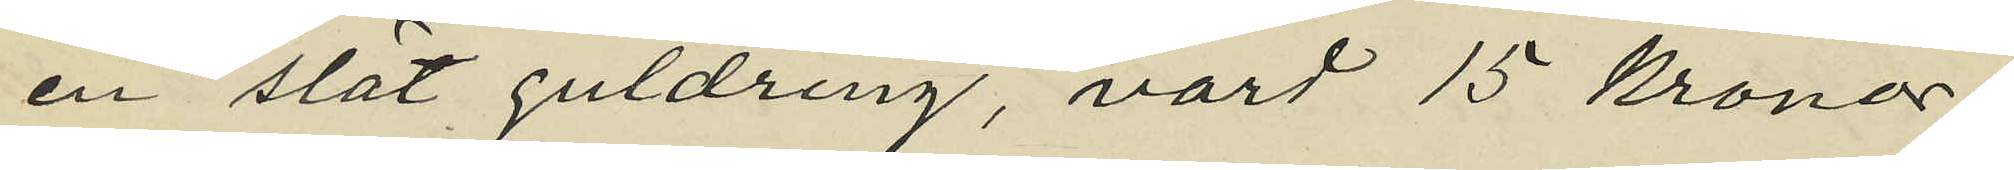en slät guldring, värd 15 kronor.
